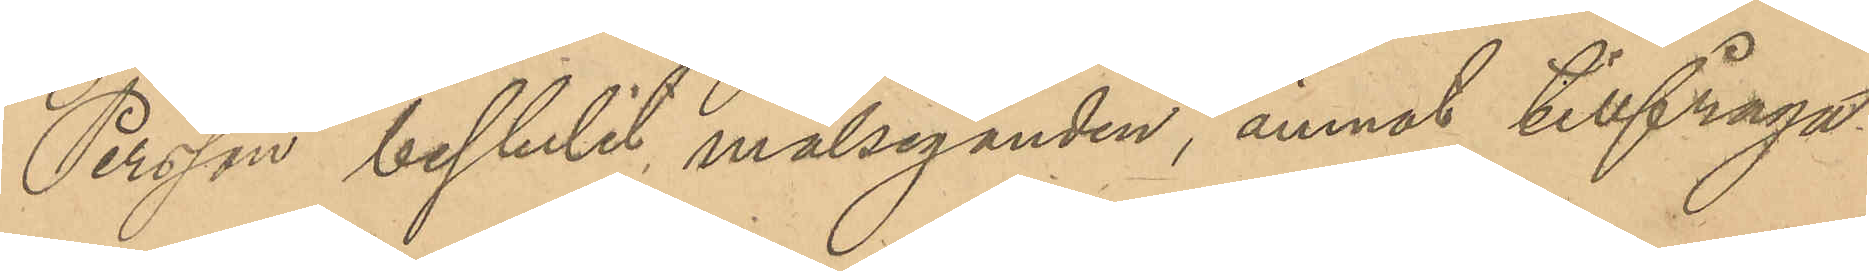Person bestulit målseganden, ämnat tillfråga
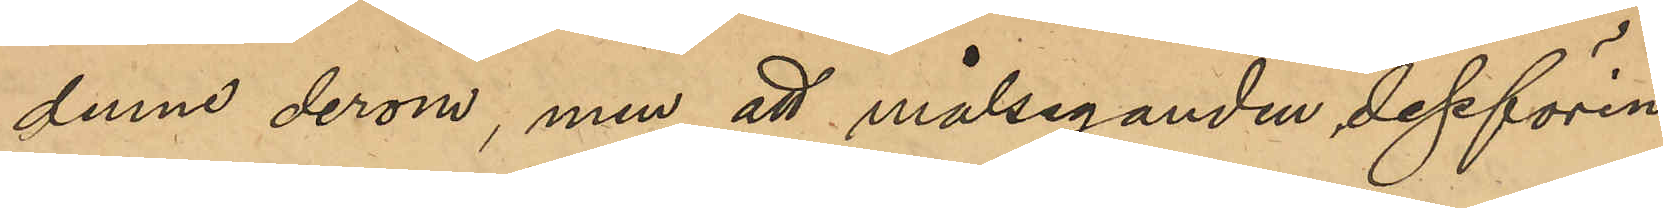denne derom, men att målseganden dessförin¬
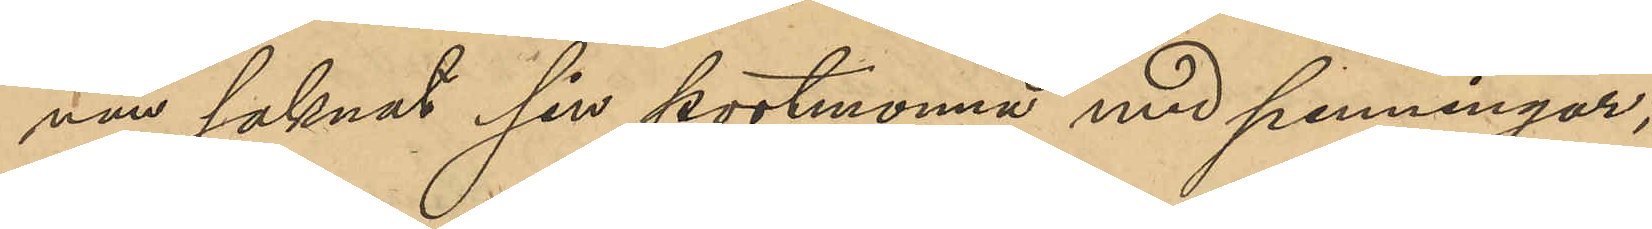nan saknat sin portmonnä med penningar;
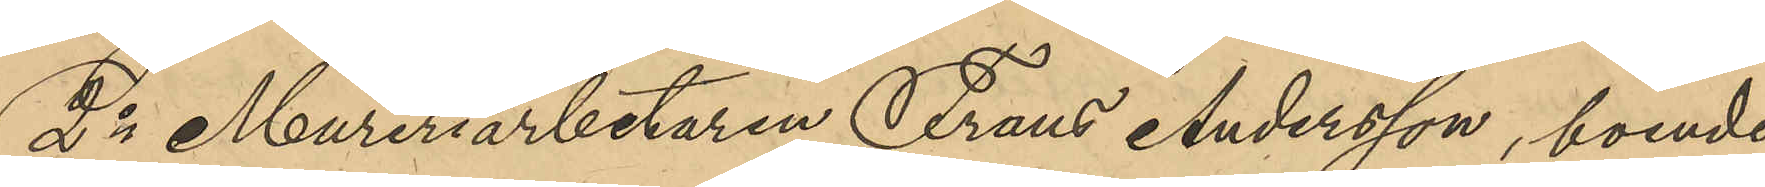2o Mureriarbetaren Frans Andersson, boende
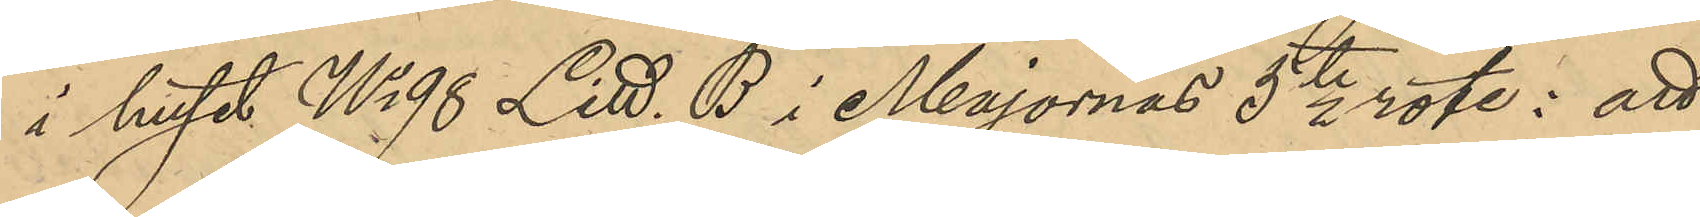i huset No 98 LItt. B i Majornas 5te rote: att
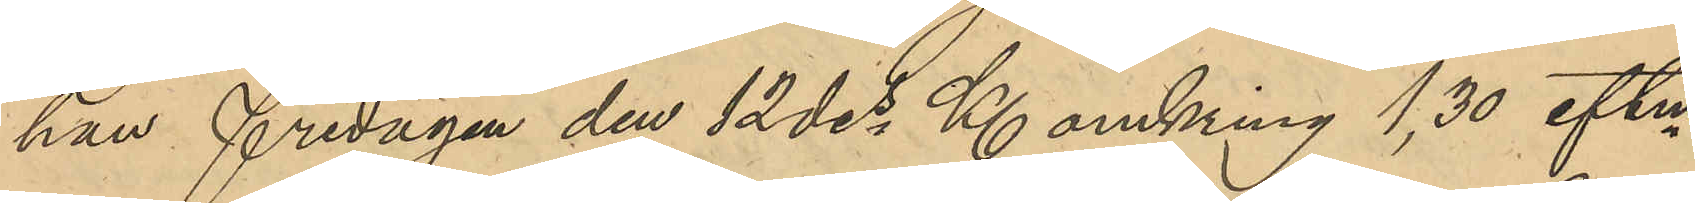han fredagen den 12 des Kl omkring 1,30 eftm
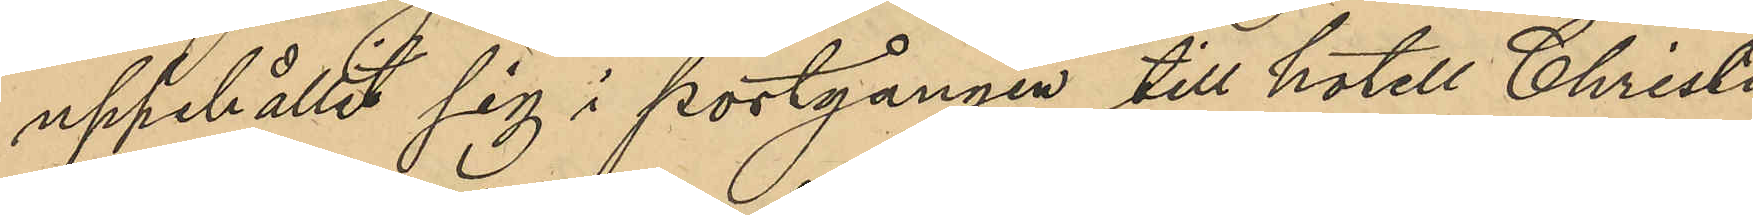uppehållit sig i portgången till hotell Christ¬
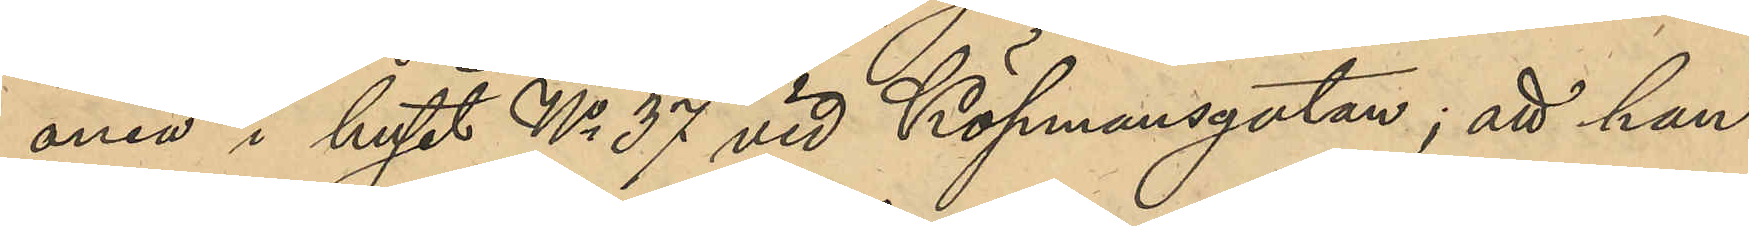ania i huset No 37 vid Köpmansgatan; att han
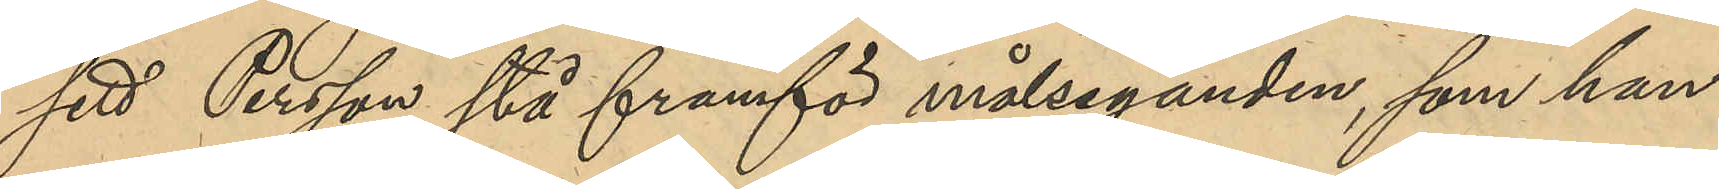sett Persson stå framför målseganden, som han
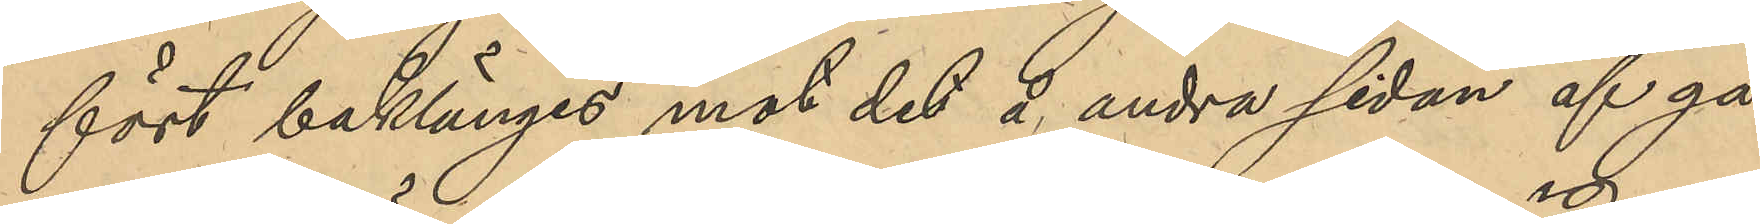fört baklänges mot det å andra sidan af ga¬
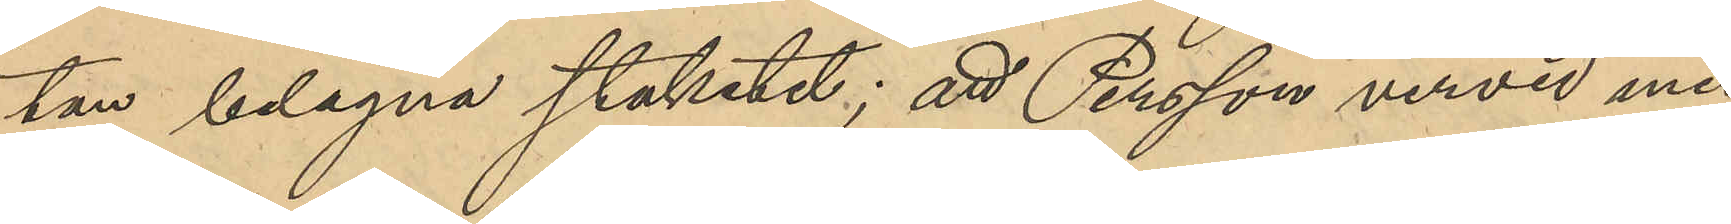tan belägna staketet; att Persson vervid med
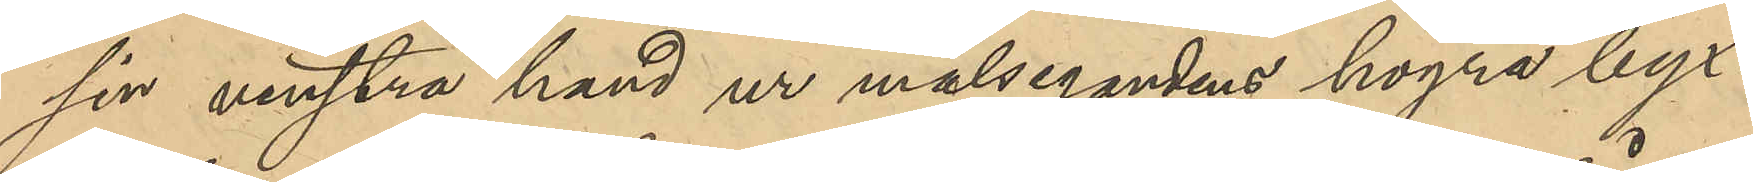sin venstra hand ur målsegandens högra byx¬
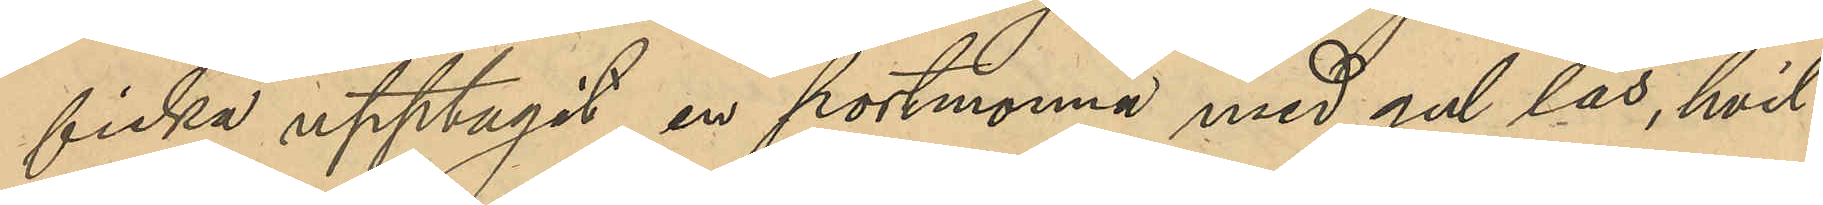ficka upptagit en portmonnä med gul lås, hvil¬
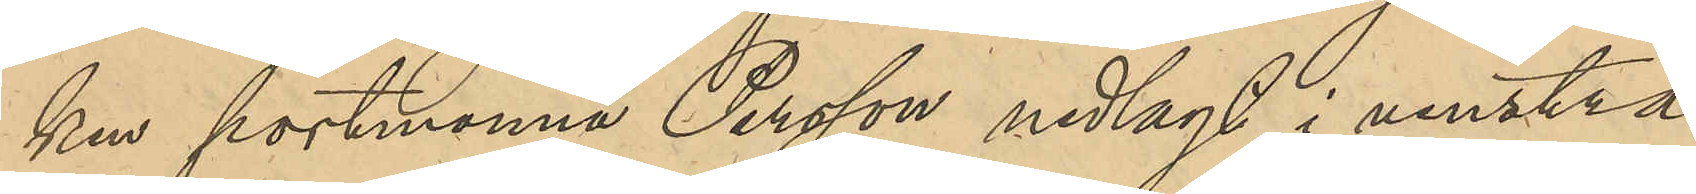ken portmonnä Persson nedlagt i venstra
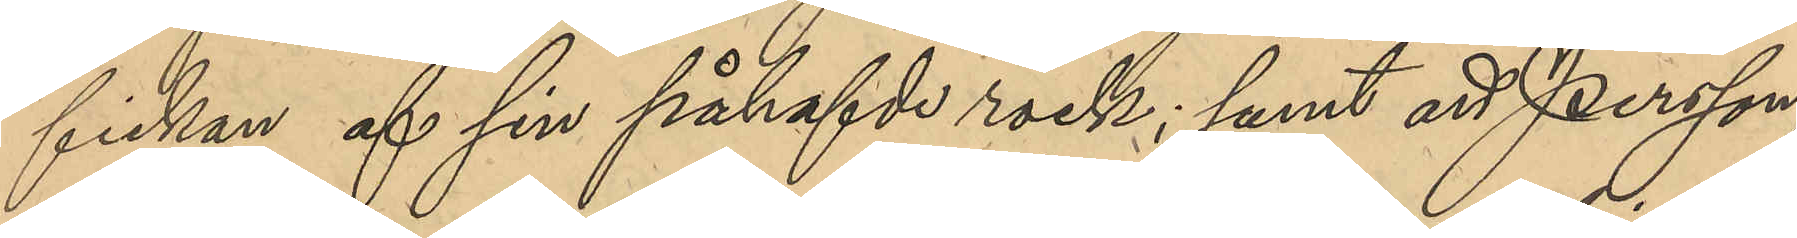fickan af sin påhafvde rock; samt att Persson
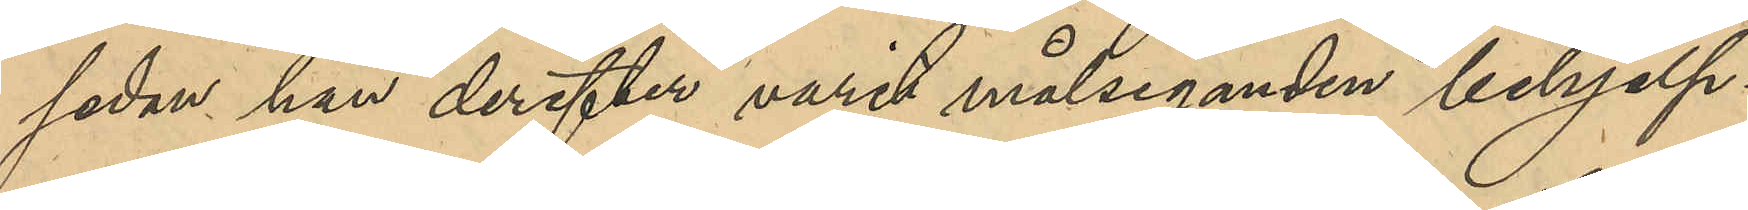sedan han derefter varit målseganden behjelp¬
